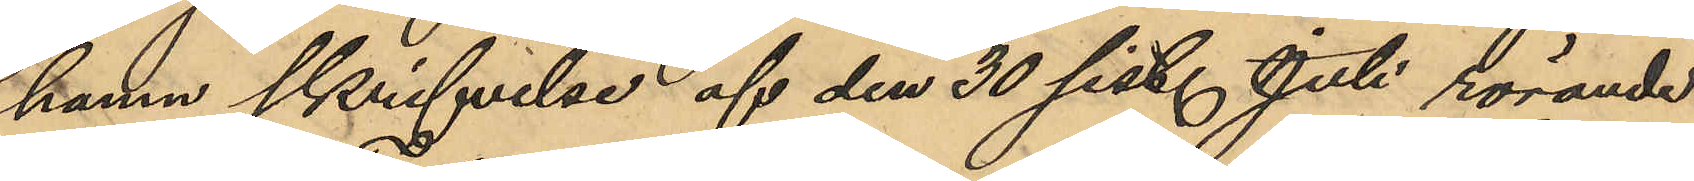hamn skrifvelse af den 30 sist. Juli rörande
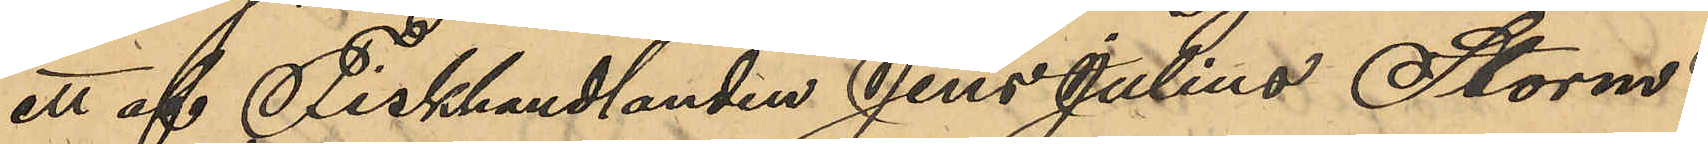ett af Fiskhandlanden Jens Julius Storm
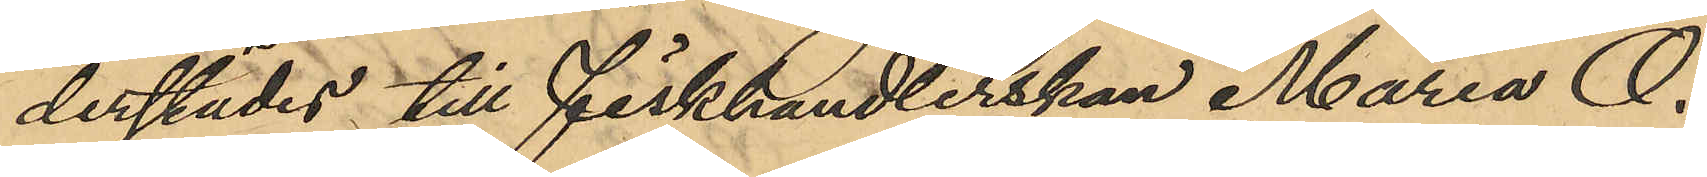derstädes till fiskhandlerskan Maria O.
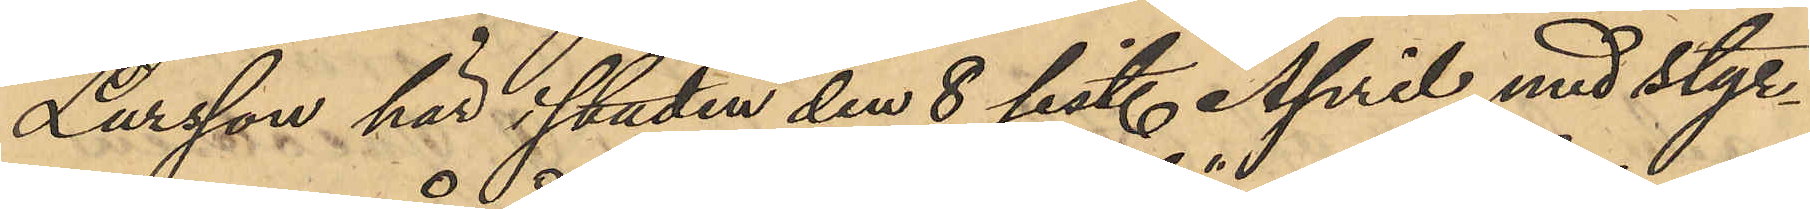Larsson här i staden den 8 sist. April med styr¬
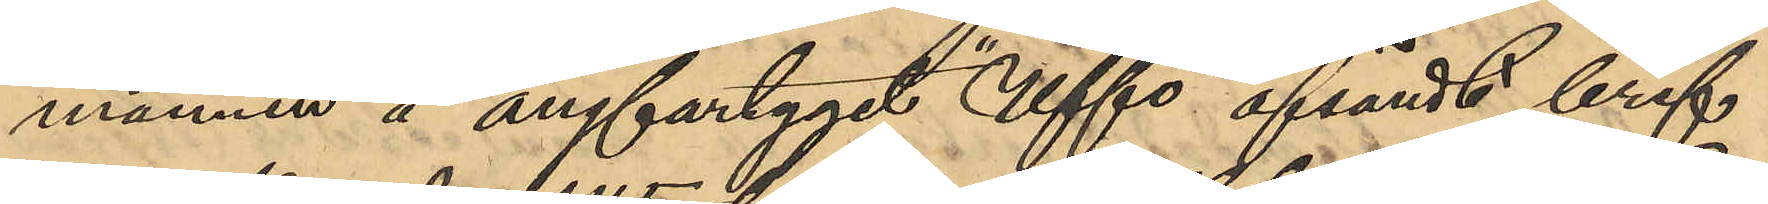mannen å ångfartyget "Uffo" afsändt bref
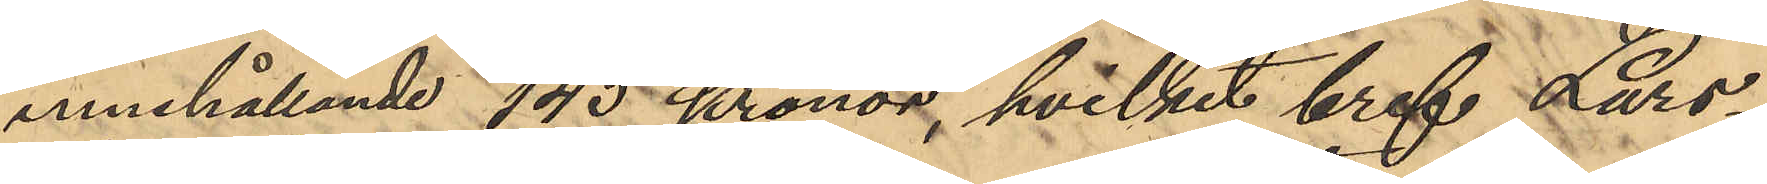innehållande 145 Kronor, hvilket bref Lars¬
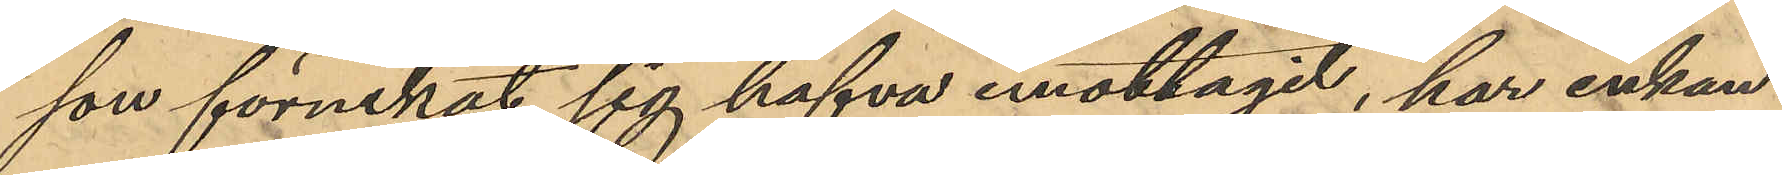son förnekat sig hafva emottagit, har enkan
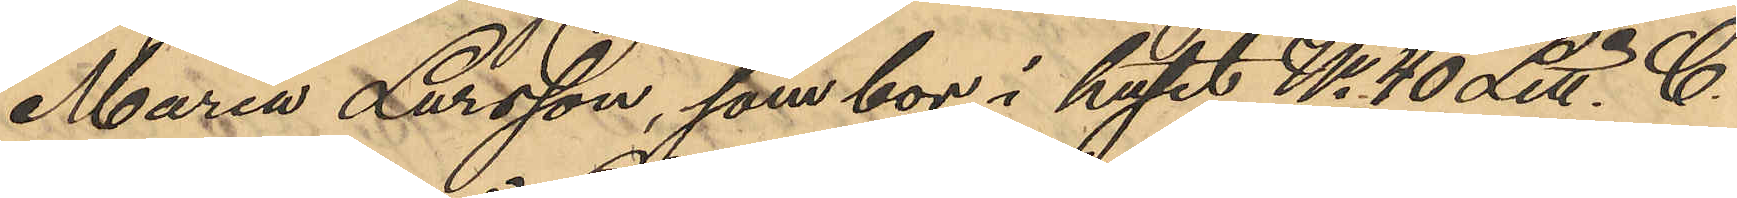Maria Larsson, som bor i huset No 40 Litt. C.
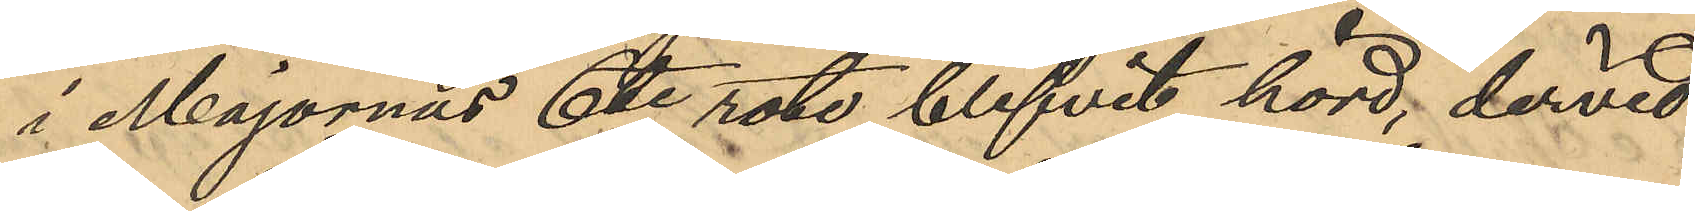i Majornas 6te rote blifvit hörd, dervid
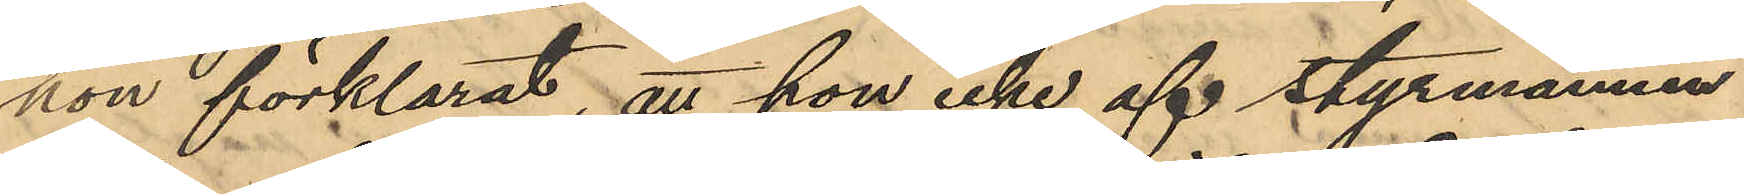hon förklarat, att hon icke af styrmannen
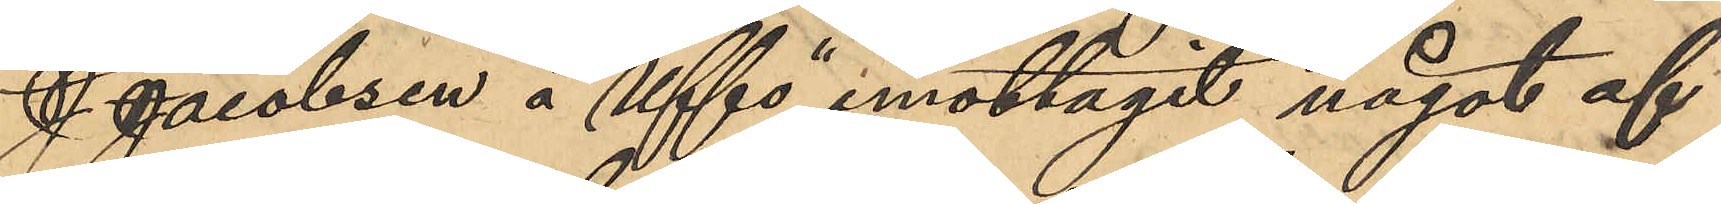J. Jacobsen å "Uffo" emottagit något af
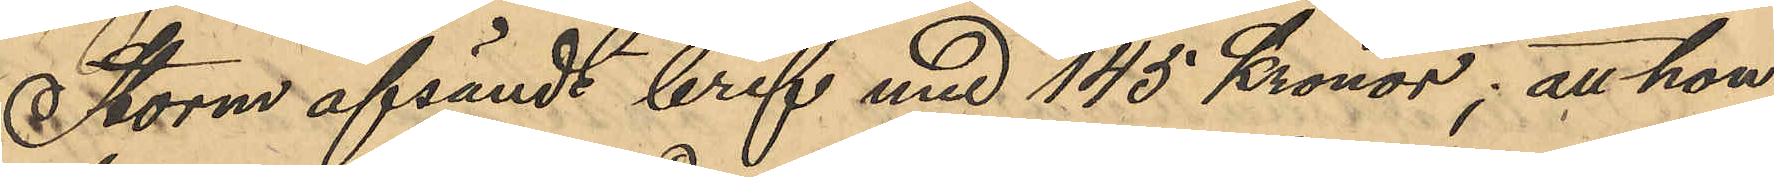Storm afsändt bref med 145 Kronor; att hon
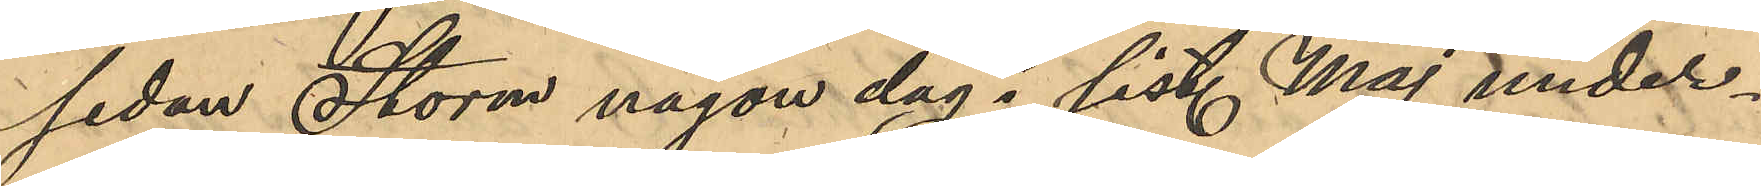sedan Storm någon dag i sist. Maj under¬
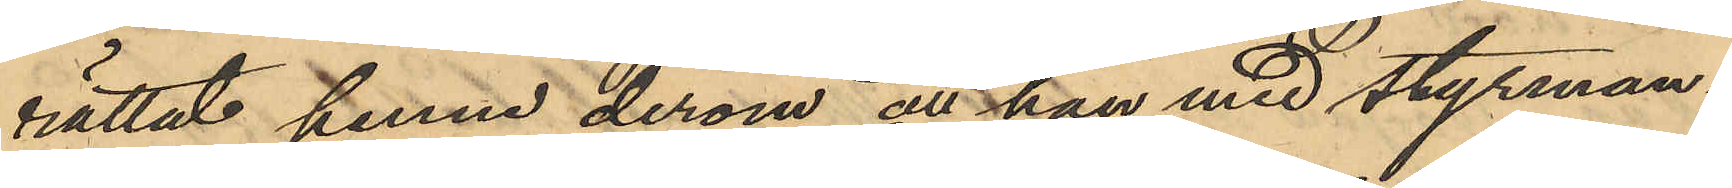rättat henne derom att han med styrman¬
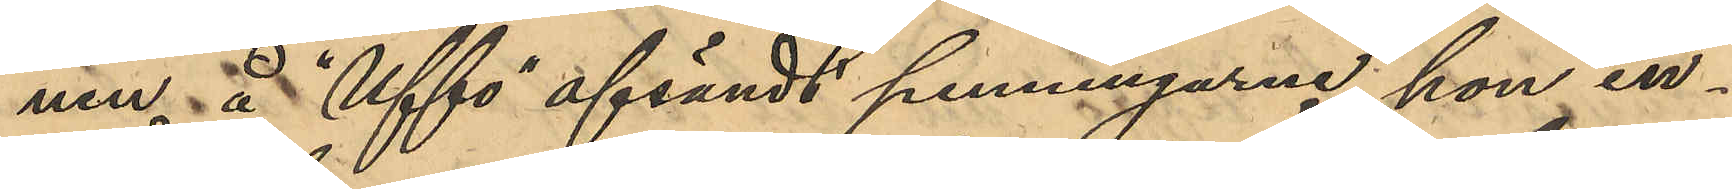nen å "Uffo" afsändt penningarne hon in¬
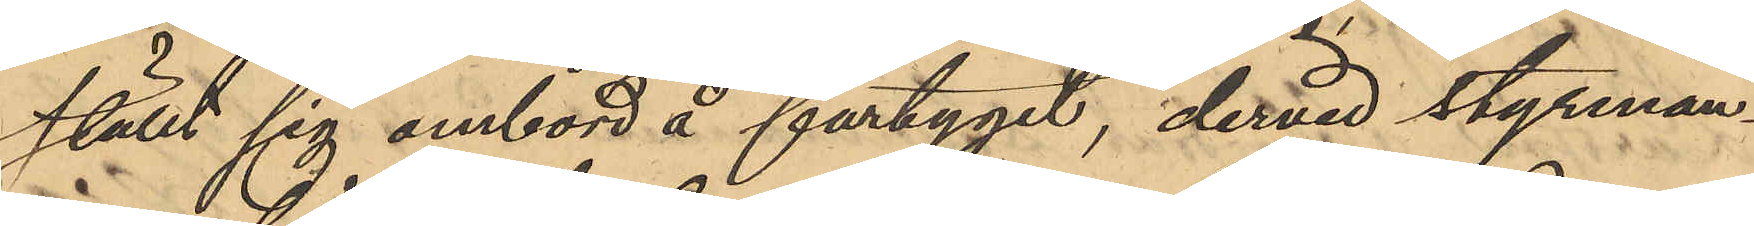ställt sig ombord å fartyget, dervid styrman¬
